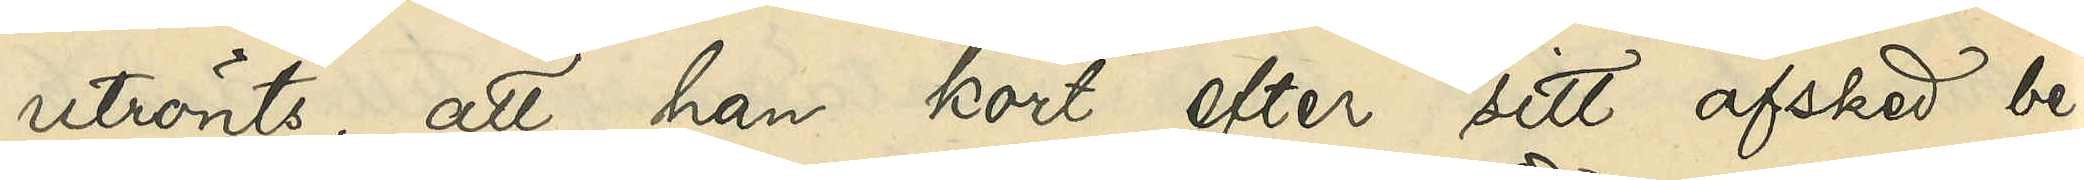utrönts, att han kort efter sitt afsked be¬
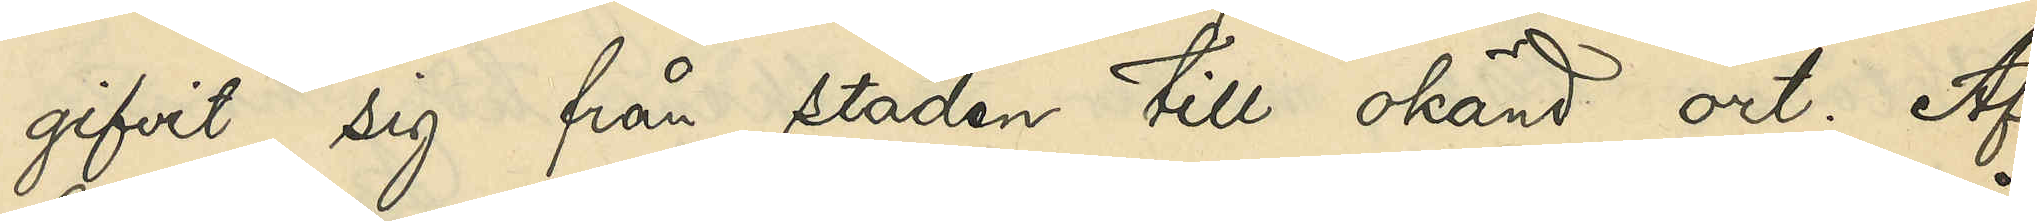gifvit sig från staden till okänd ort. Af
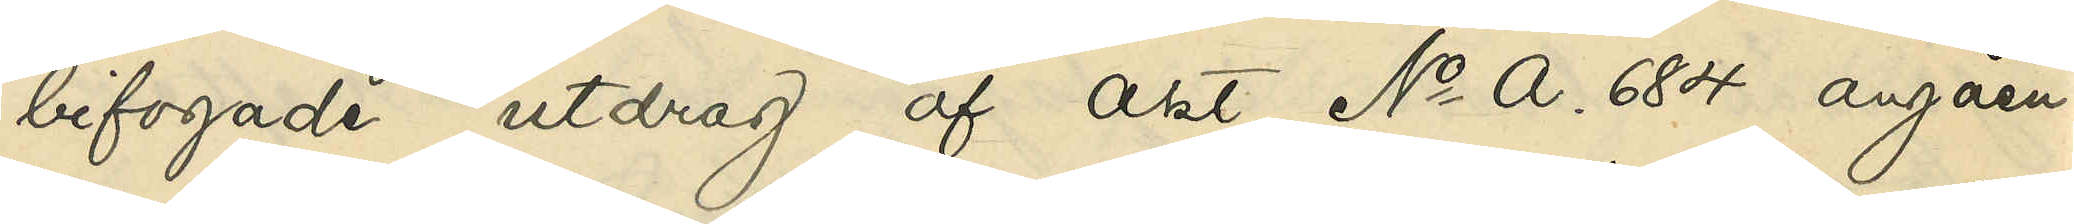bifogade utdrag af akt No A. 684 angåen¬
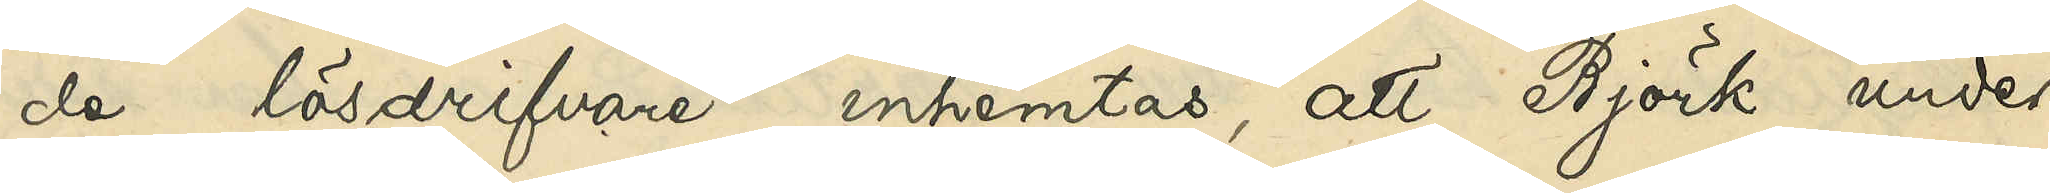de lösdrifvare inhemtas, att Björk under
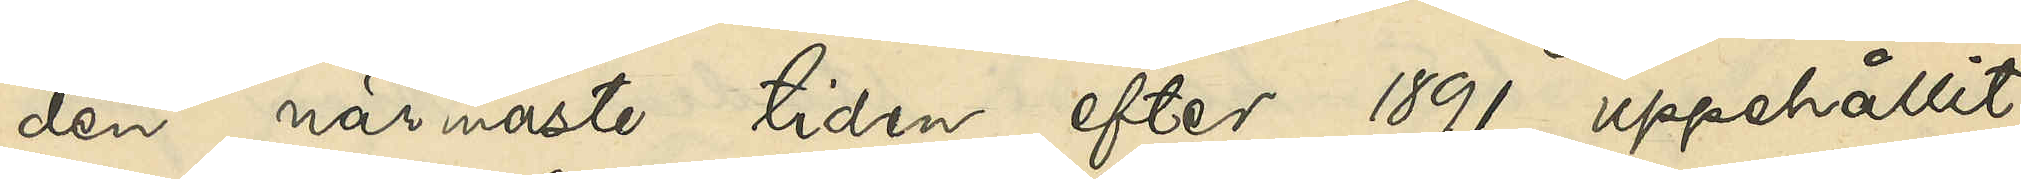den närmaste tiden efter 1891 uppehållit
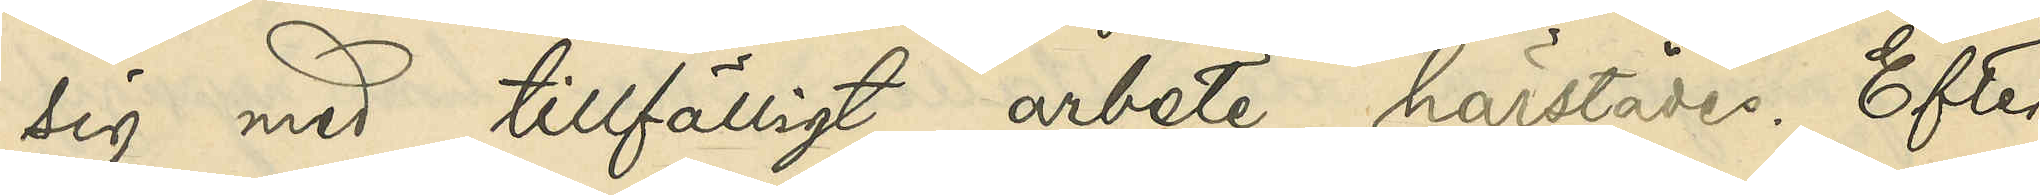sig med tillfälligt arbete härstädes. Efter
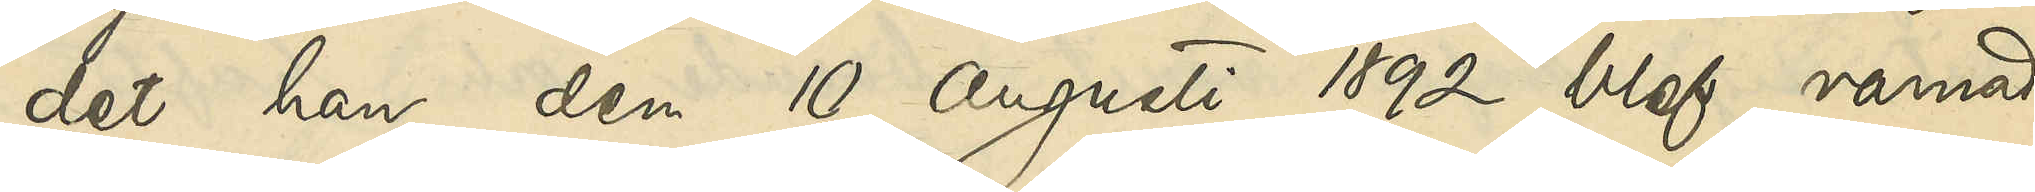det han den 10 Augusti 1892 blef varnad
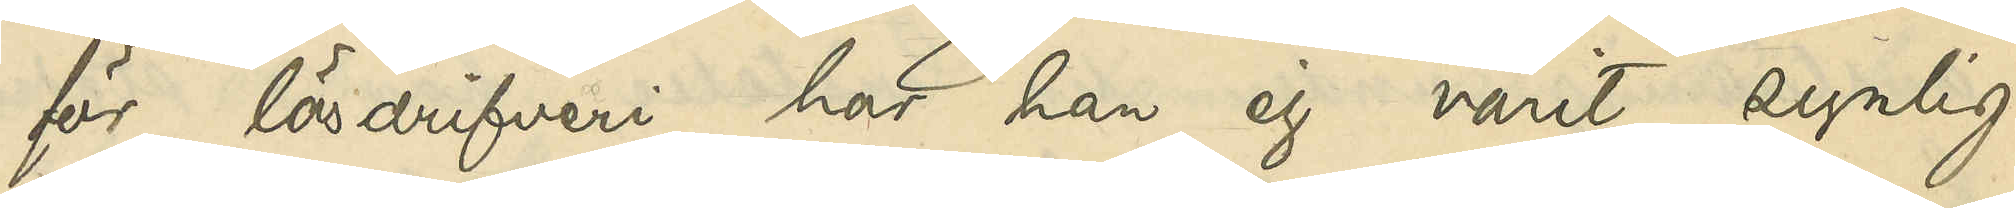för lösdrifveri har han ej varit synlig
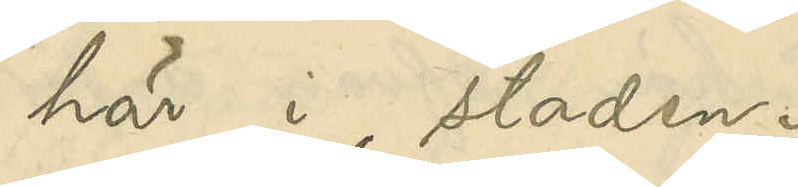här i staden.
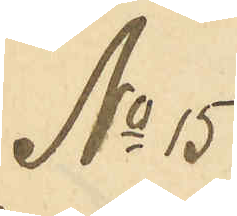No 15
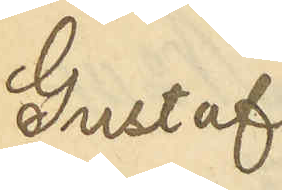Gustaf
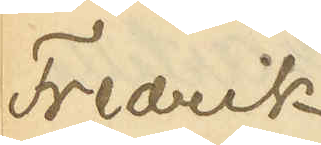Fredrik
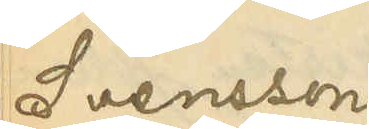Svensson
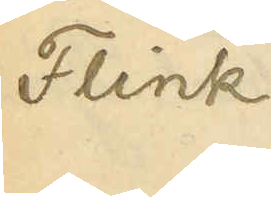Flink
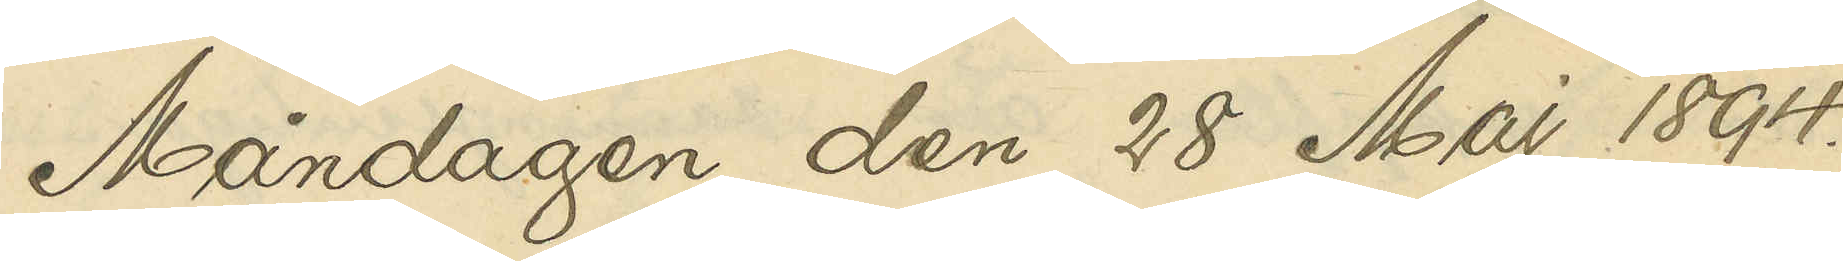Måndagen den 28 Maj 1894.
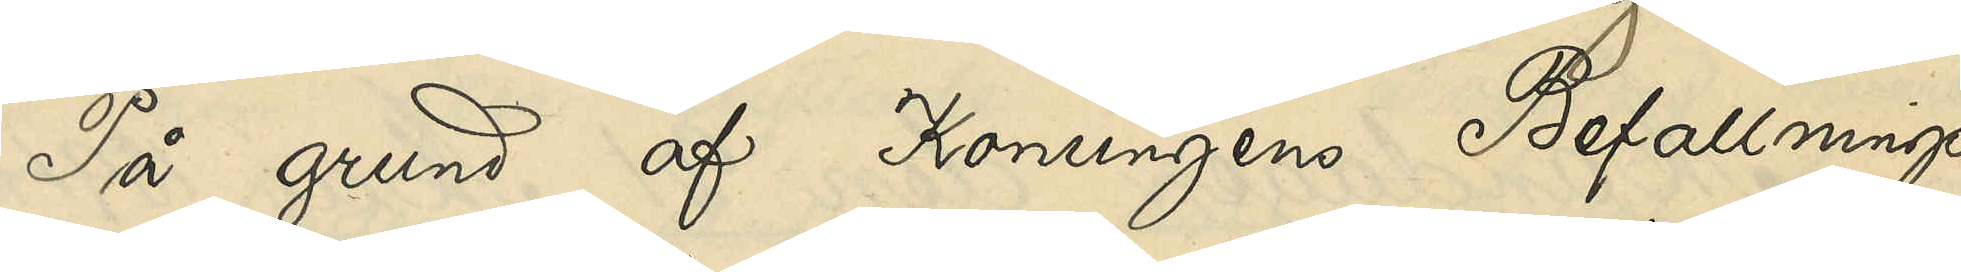På grund af Konungens Befallnings¬
